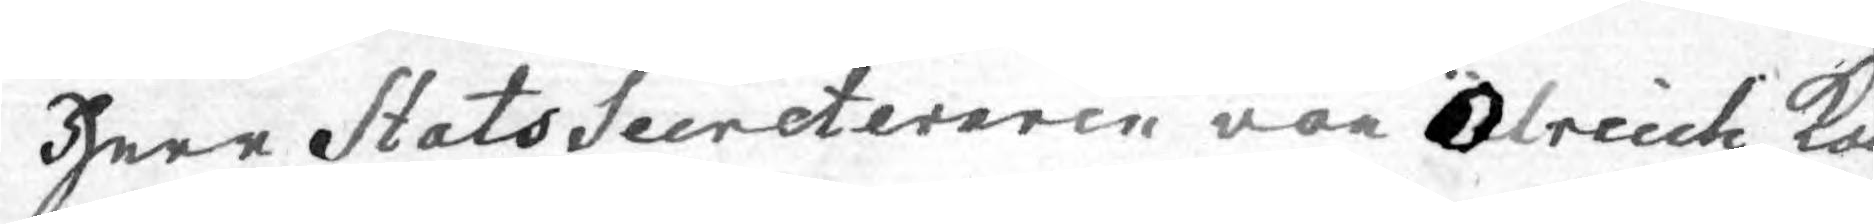Herr Stats Secreteraren von Oelrecih ko¬
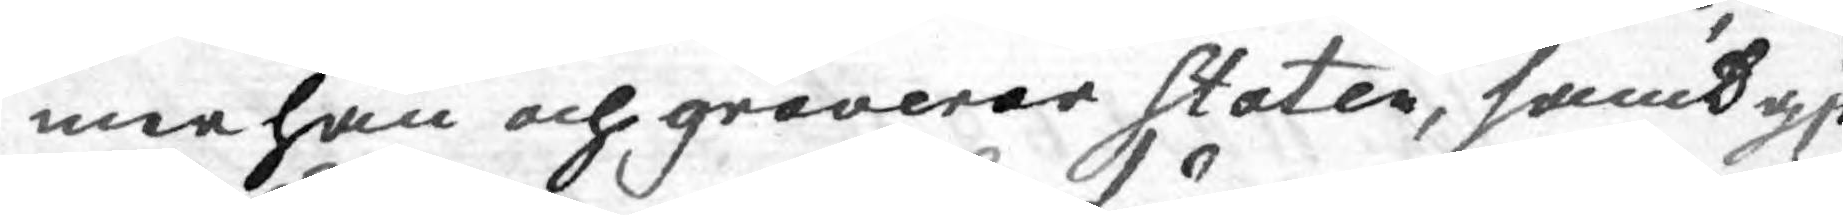mme han och graverar Staten, samt gjö
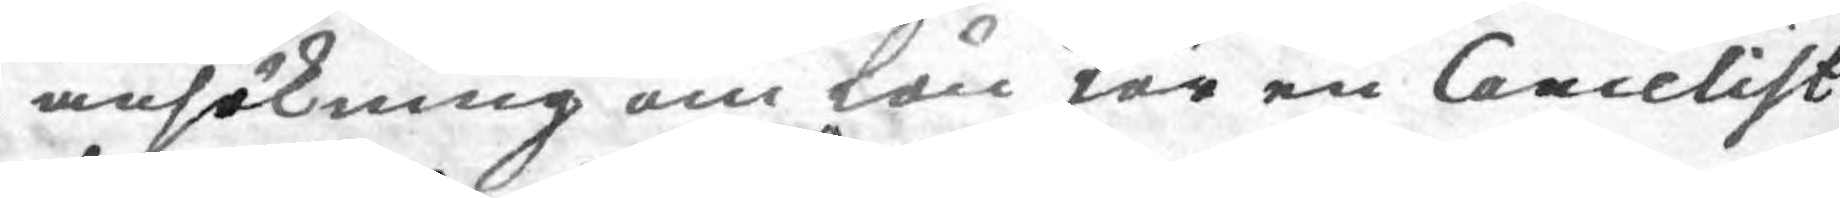ansökning om lån för en Cancelist
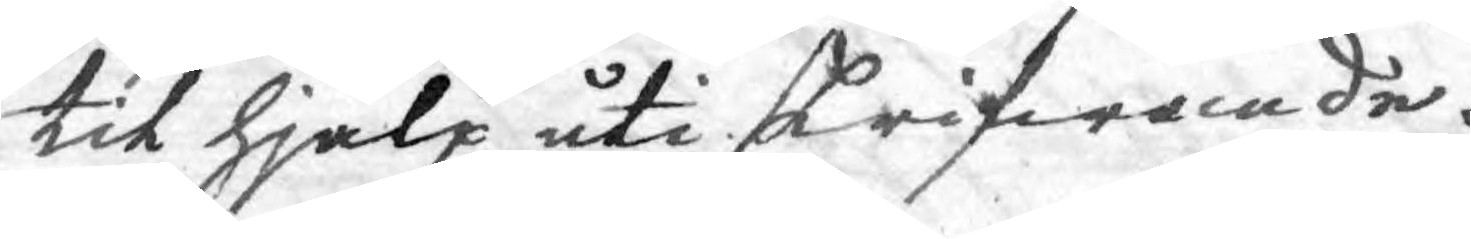til hjälp uti skrifwande.
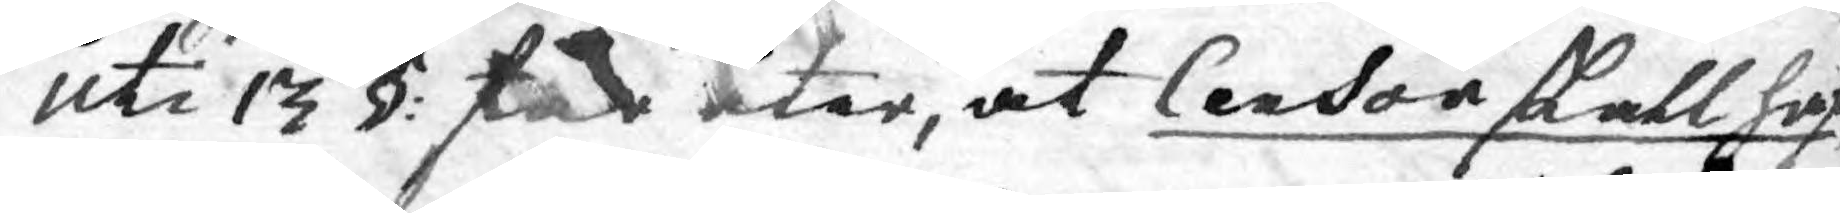Uti 13 §: får åter, at Censor skall haf¬
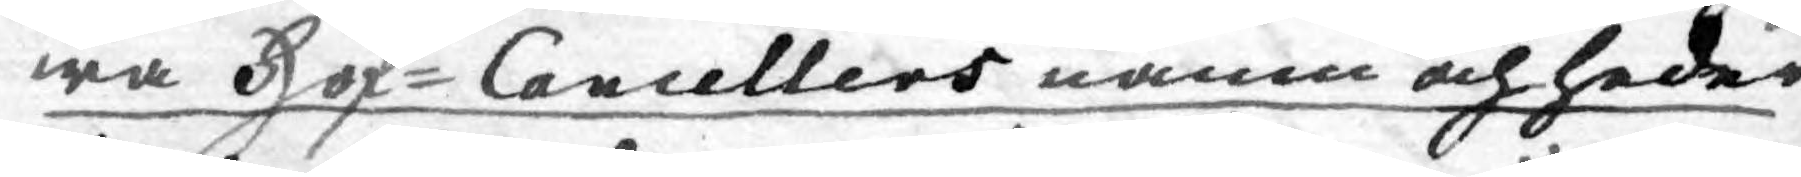wa Hof-Cancellers namn och heder.
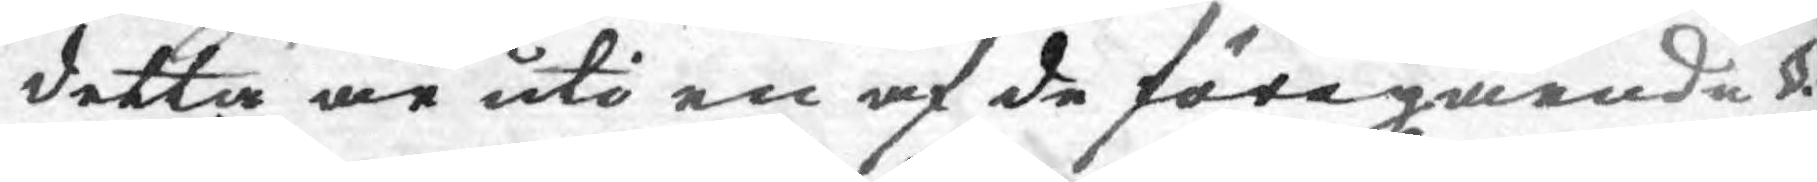detta är uti en af de föregående de §§.
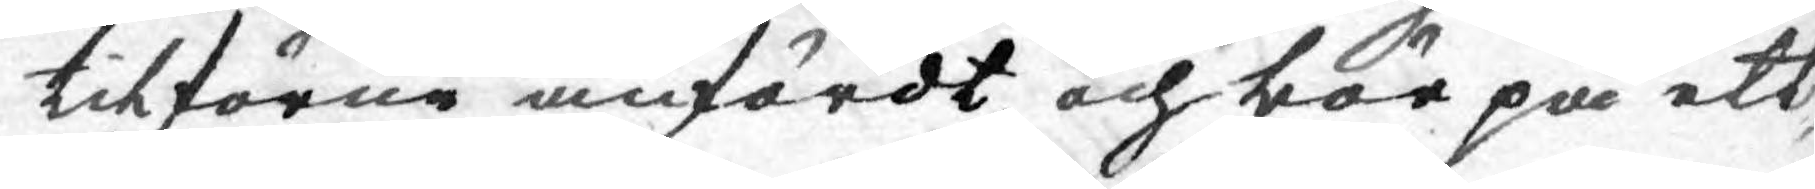tilförne anfördt och bör på ett¬
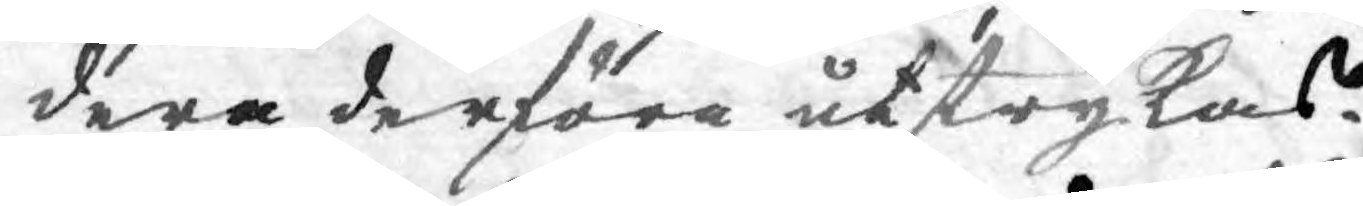dera derföre utstrykas.
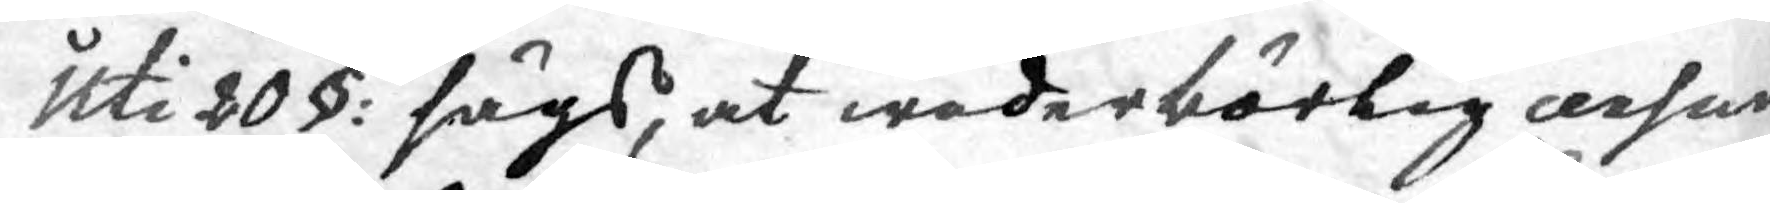Uti 20 §: sägs, at wederbörlig cersur
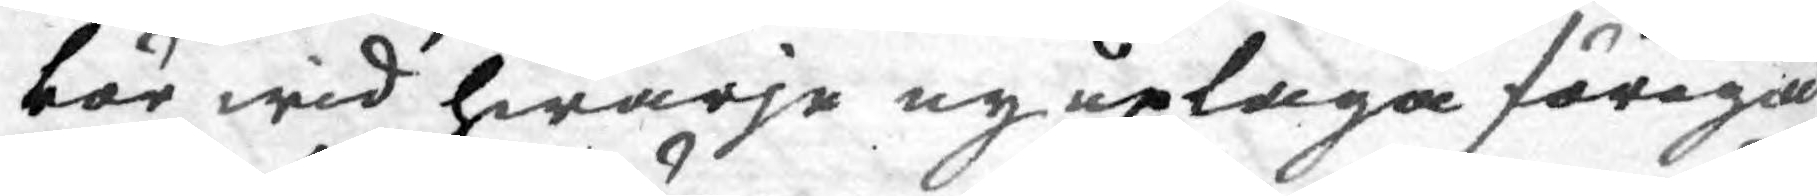bör wid hwarje ny uplaga föregå
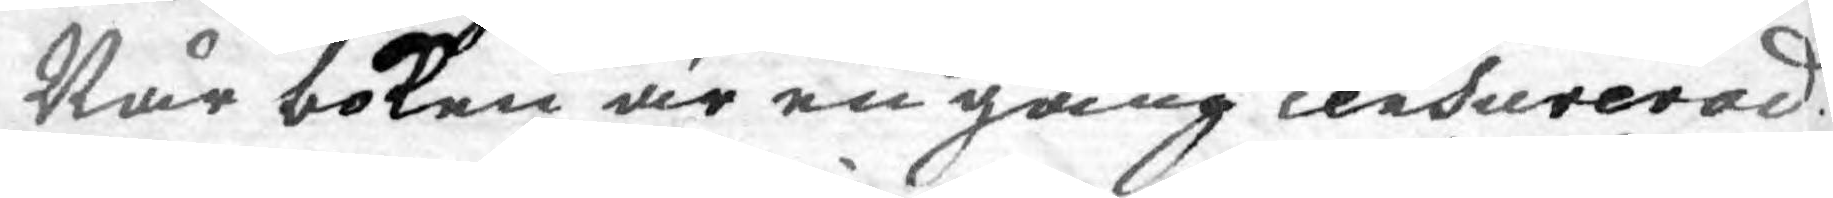Wår boken är en gång censurerad.
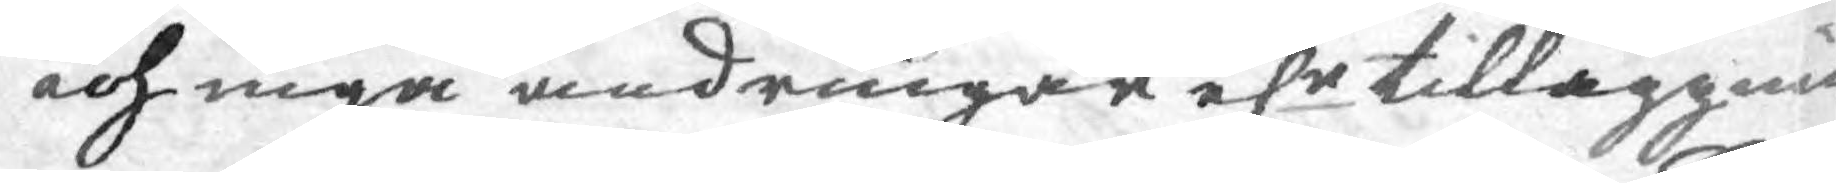och inga ändringar elr tilläggnin¬
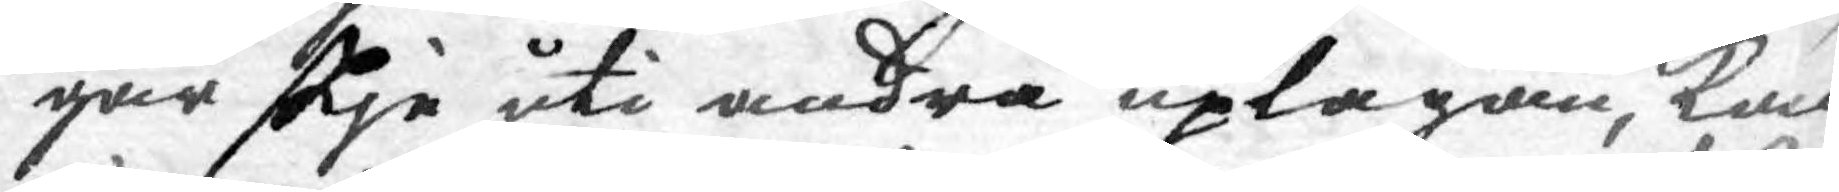gar skje uti andra uplagan, kan
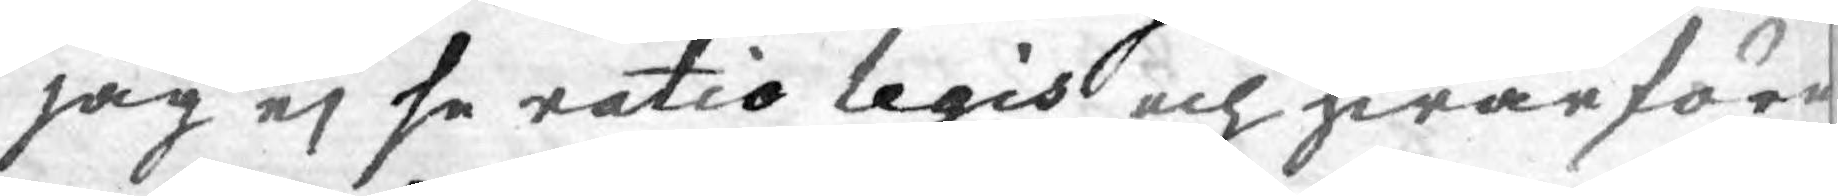jag ej se ratio legis och hwarföre
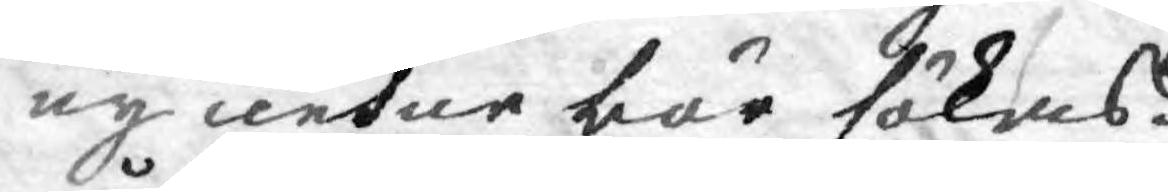ny censur bör sökas.
